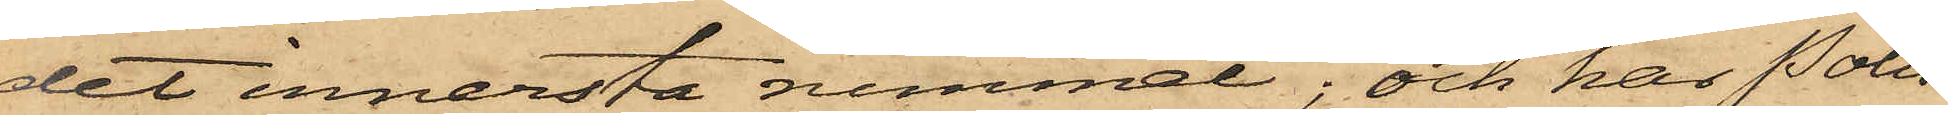det innersta rummet; och har Polis¬
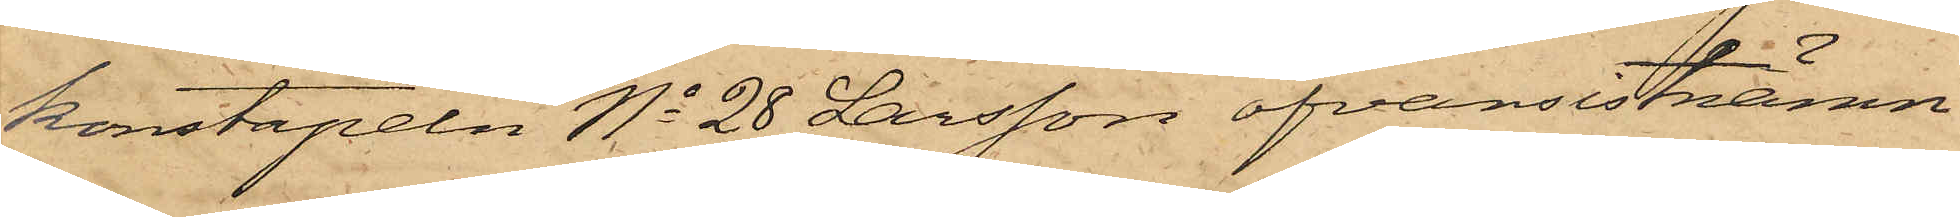konstapeln No 28 Larsson ofvansistnämn¬
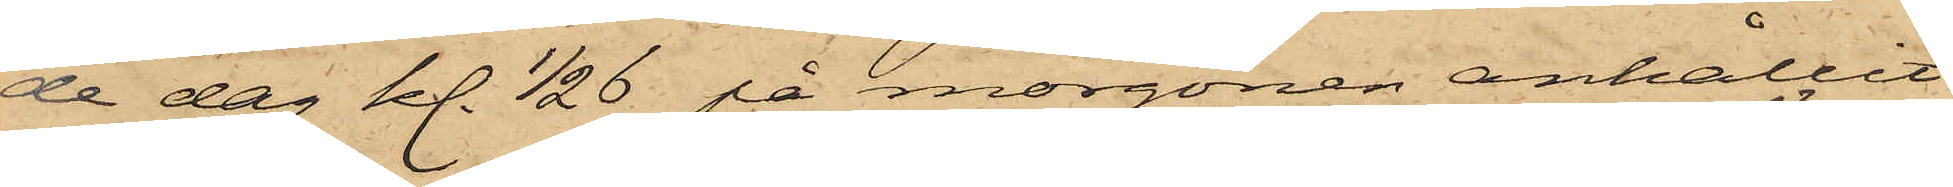de dag kl. 1/2 6 på morgonen anhållit
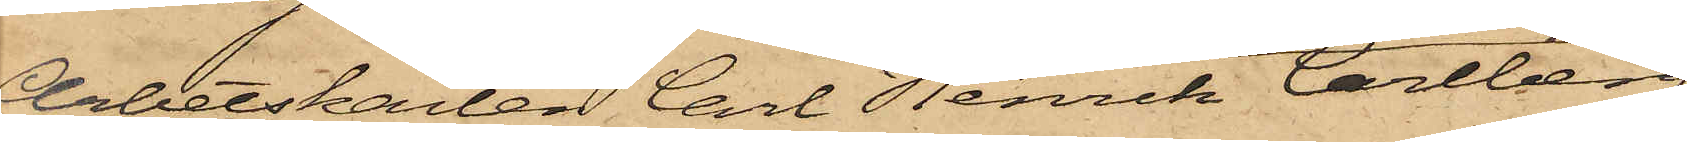Arbetskarlen Carl Henrik Carlberg,
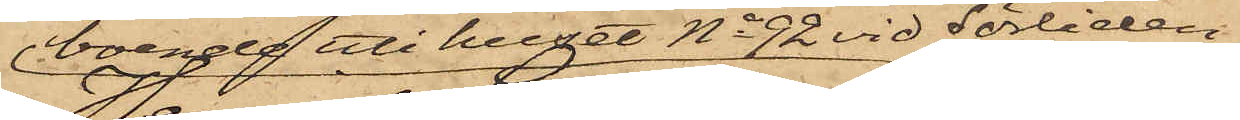boende uti huset No 92 vid Sörliden
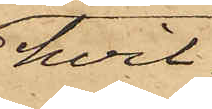hvil¬
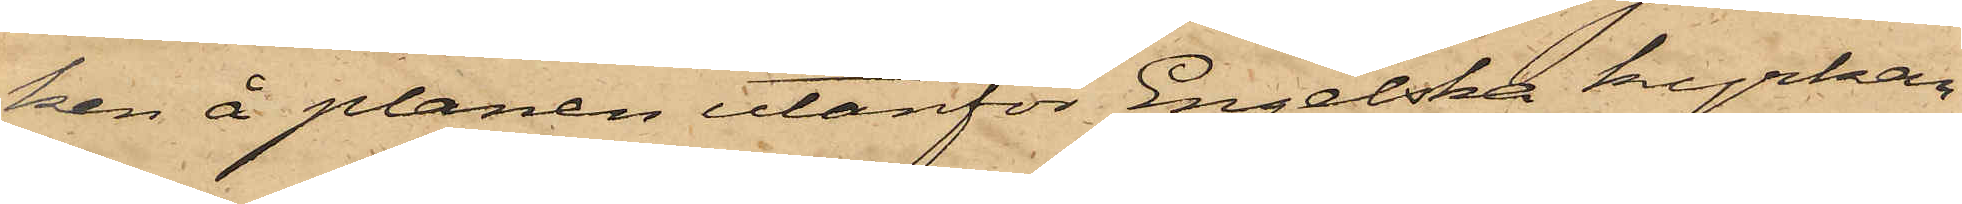ken å planen utanför Engelska kyrkan
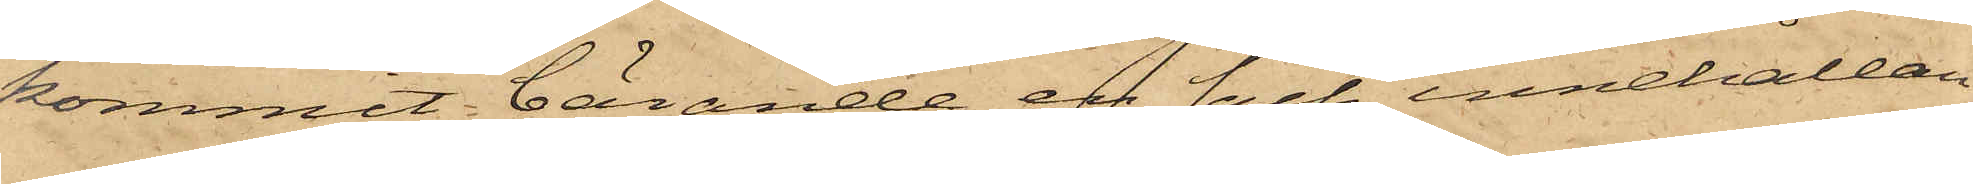kommit bärande en säck, innehållan¬
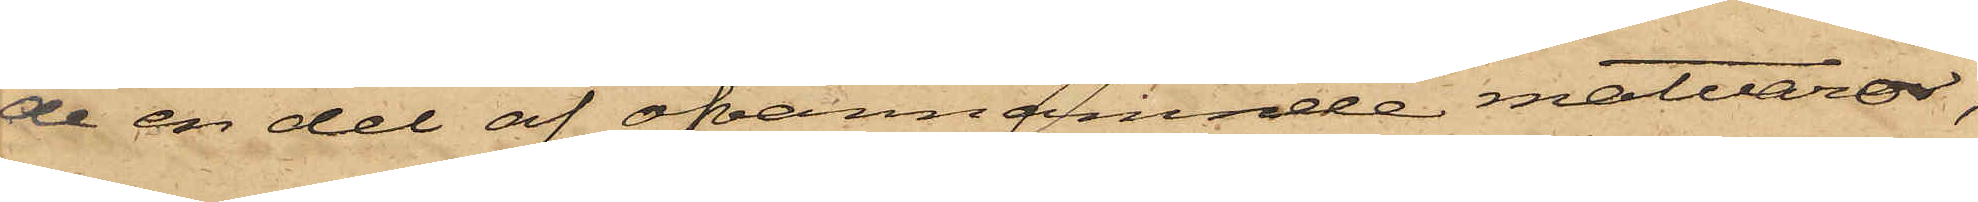de en del af ofvannämnde matvaror,
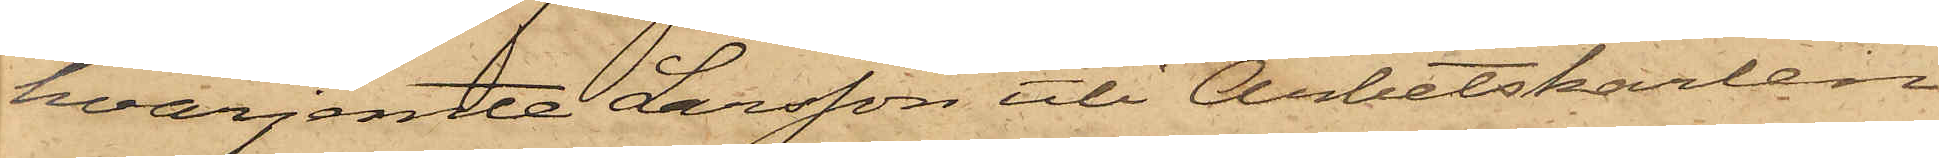hvarjemte Larsson uti Arbetskarlen
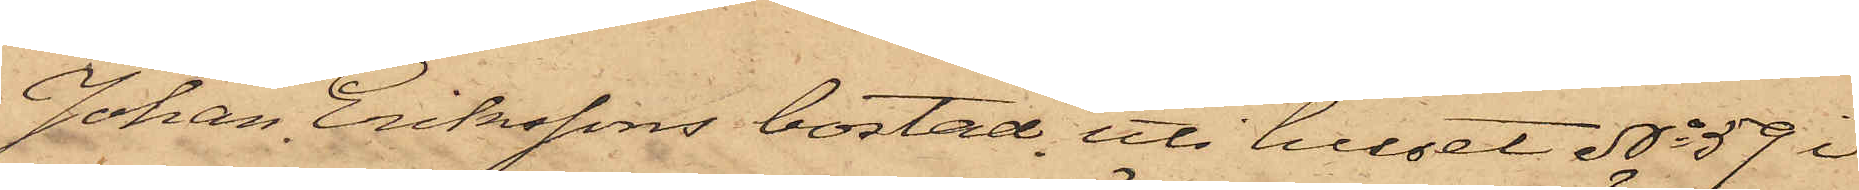Johan Erikssons bostad uti huset No 59 i
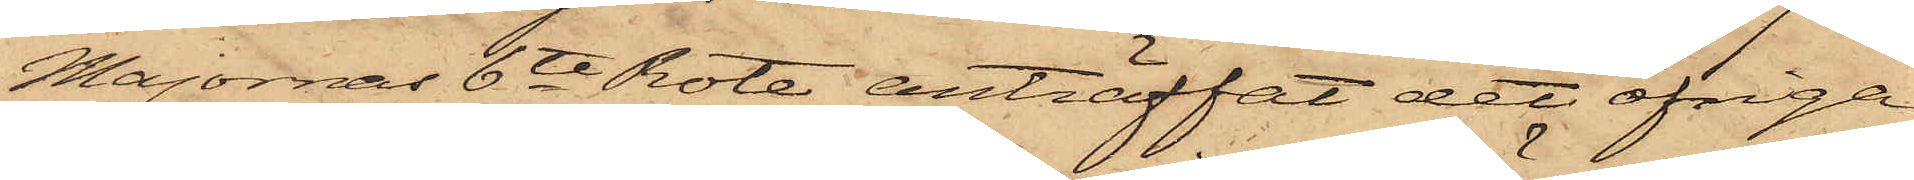Majornas 6te Rote, anträffat det öfriga
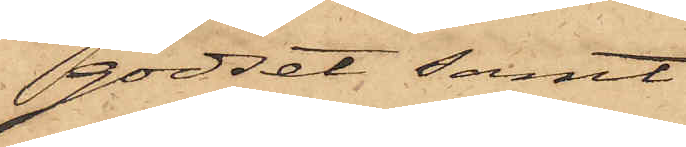godset samt
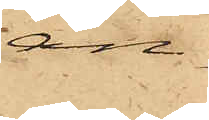an¬
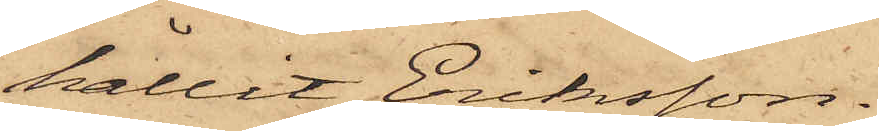hållit Eriksson.
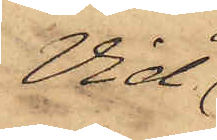Vid
